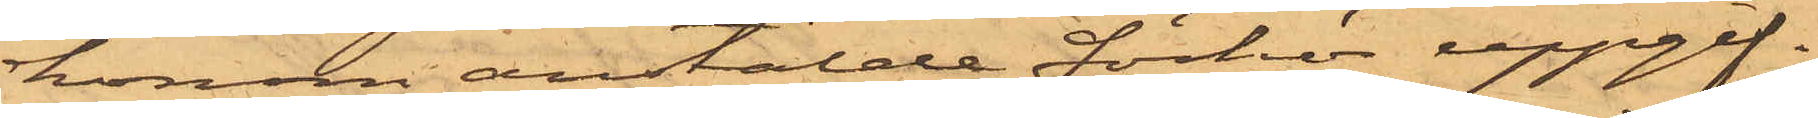honom anstälde förhör uppgif¬
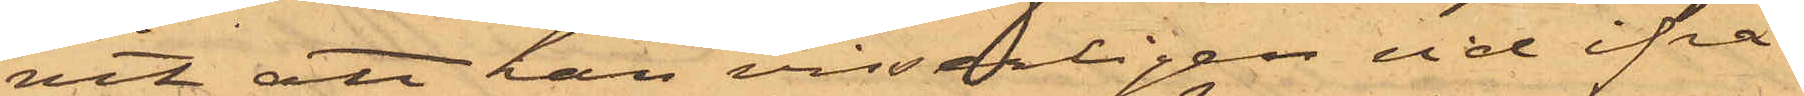vit att han visserligen vid ifrå¬
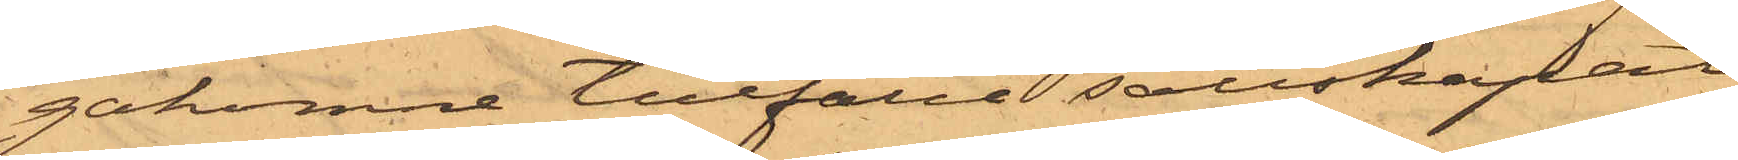gakomne tillfälle sällskapat
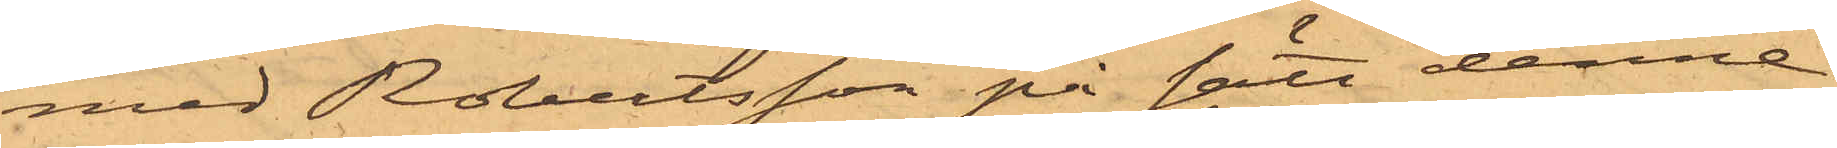med Robertsson på sätt denne
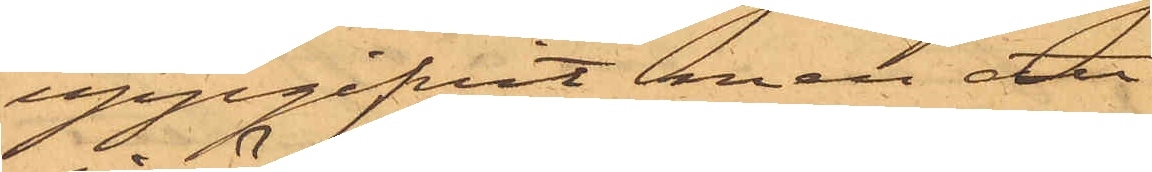uppgifvit men att
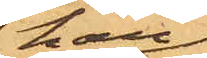han
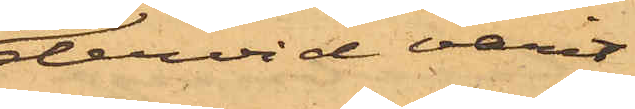dervid varit
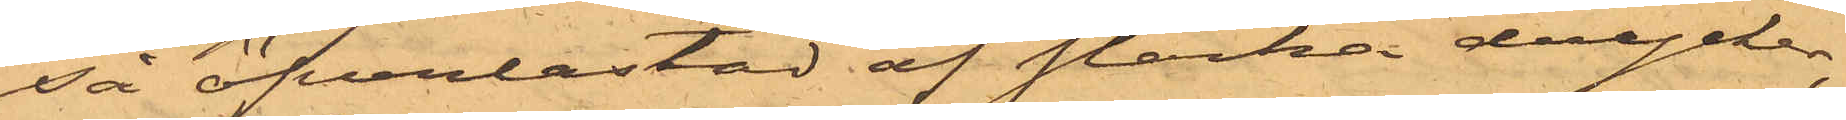så öfverlastad af starka drycker,
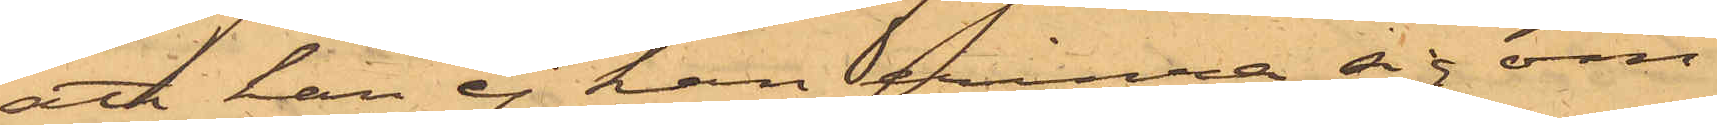att han ej kan erinra sig om
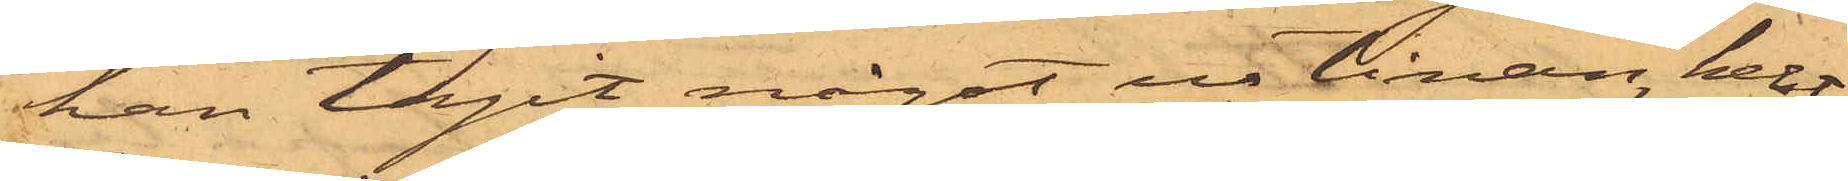han tagit något ur tinan, helst
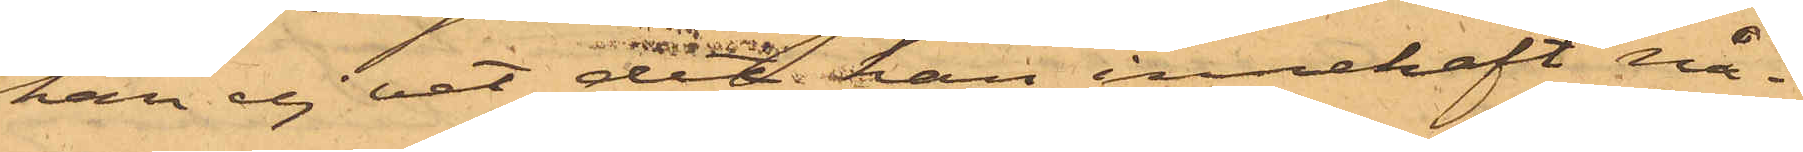han ej vet det han innehaft nå¬
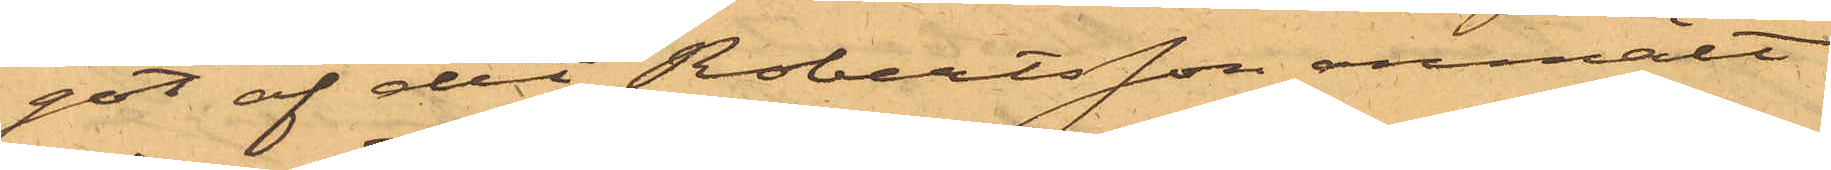got af det Robertsson anmält
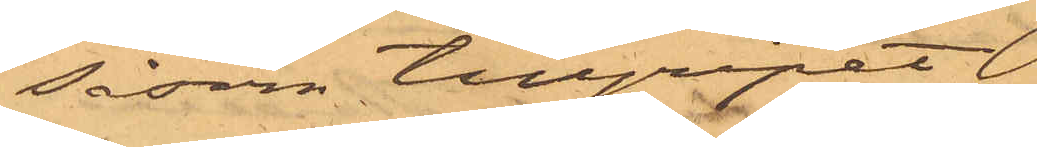såsom tillgripit 
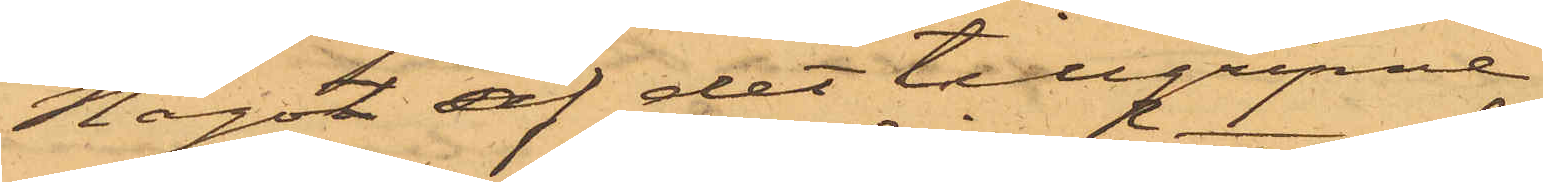Något af det tillgripne
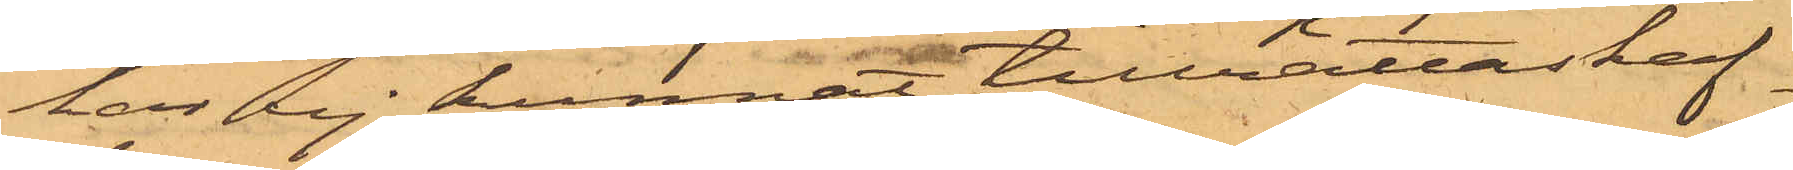har ej kunnat tillrättaskaf¬
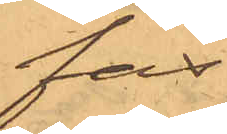fas.
